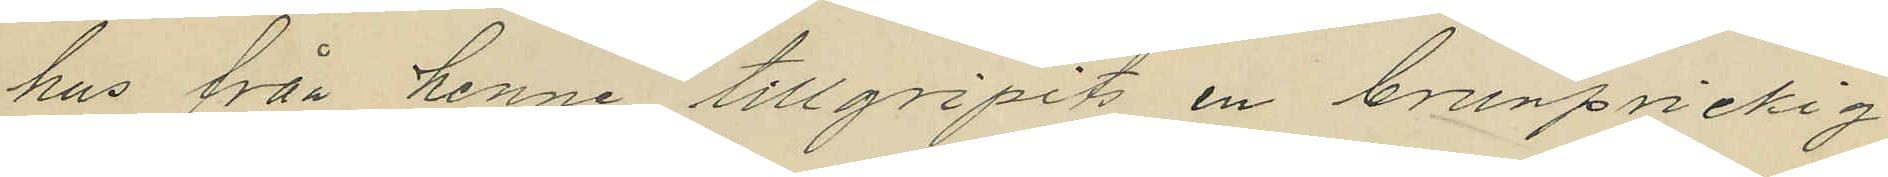hus från henne tillgripits en brunprickig
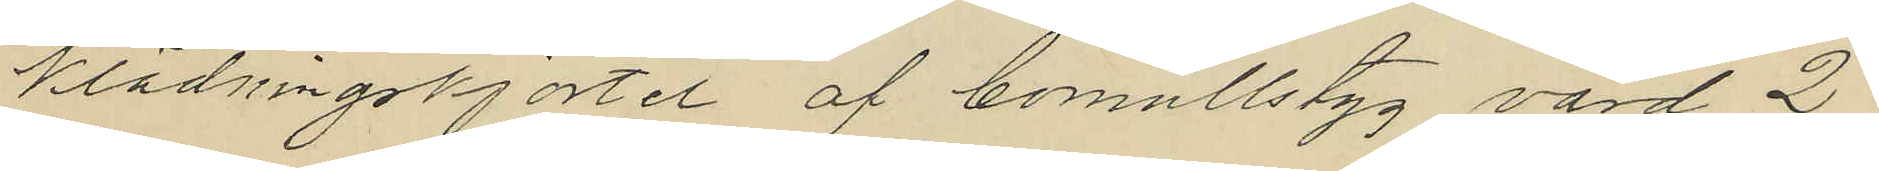klädningskjortel af bomullstyg värd 2
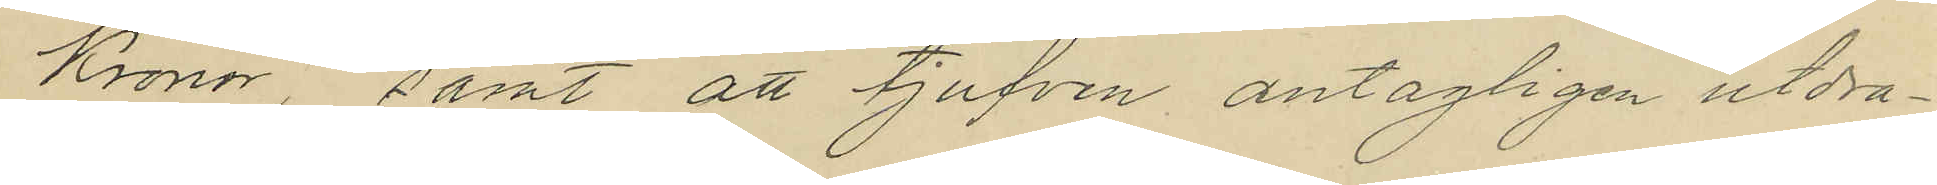Kronor, samt att tjufven antagligen utdra¬
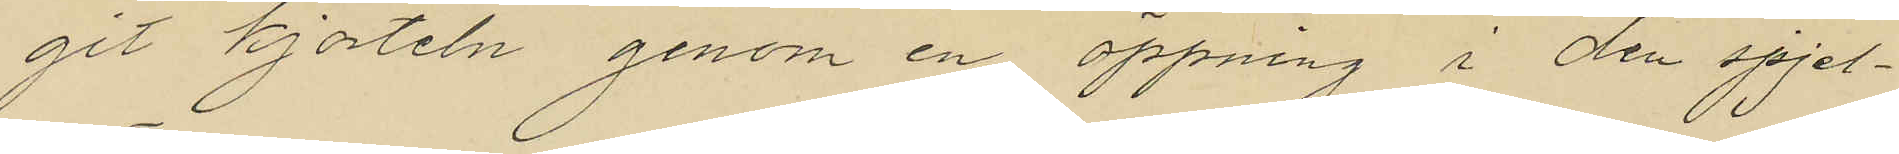git kjorteln genom en öppning i den spjel¬
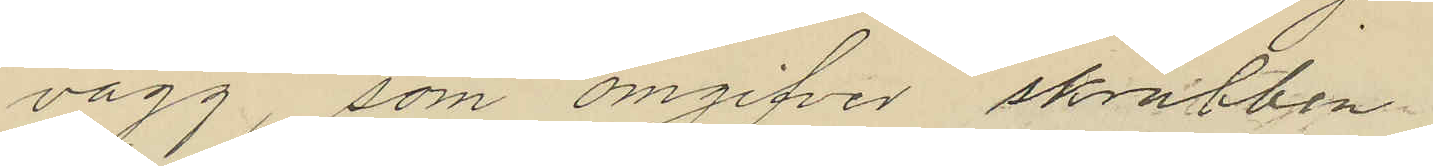vägg, som omgifver skrubben.
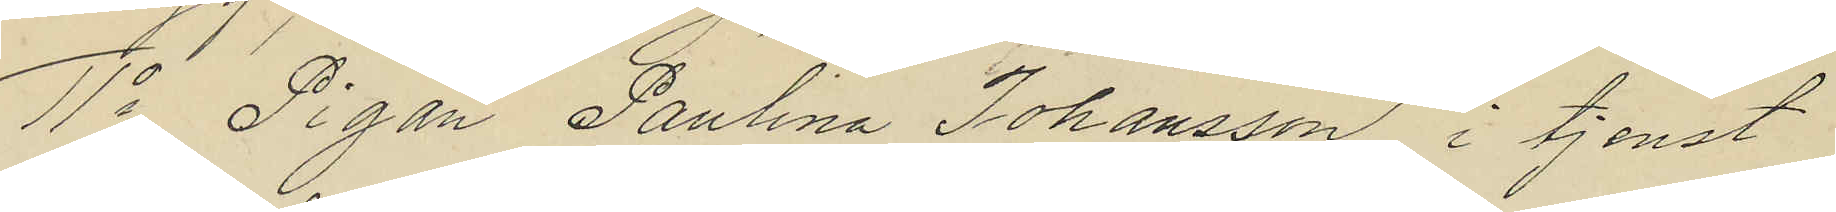11o Pigan Paulina Johansson i tjenst
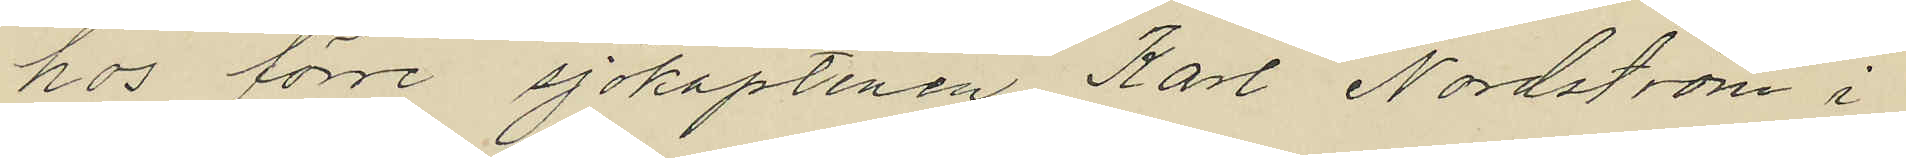hos förre sjökaptenen Karl Nordström i
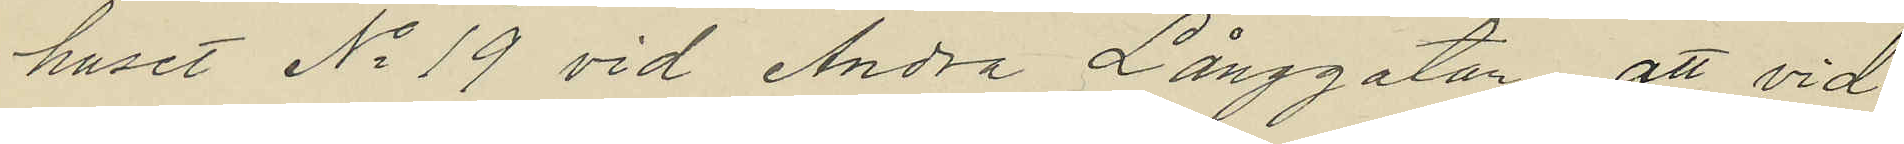huset No 19 vid Andra Långgatan, att vid
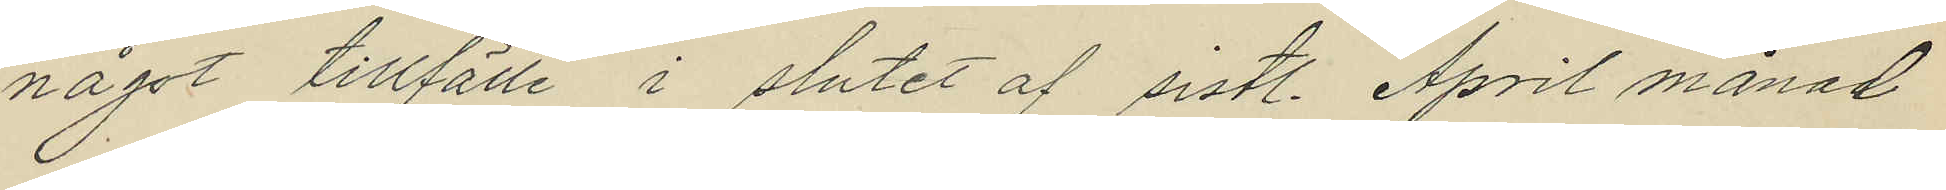något tillfälle i slutet af sistl. April månad
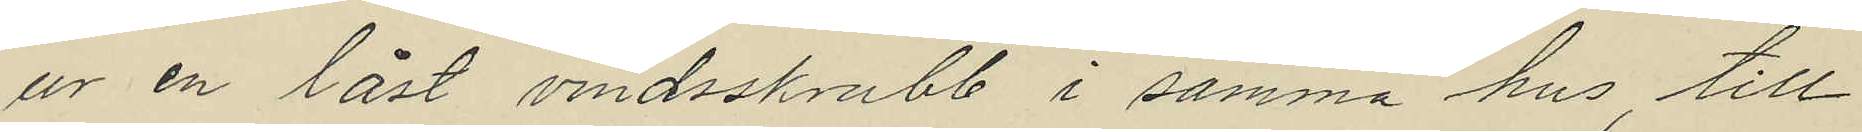ur en låst vindsskrubb i samma hus, till
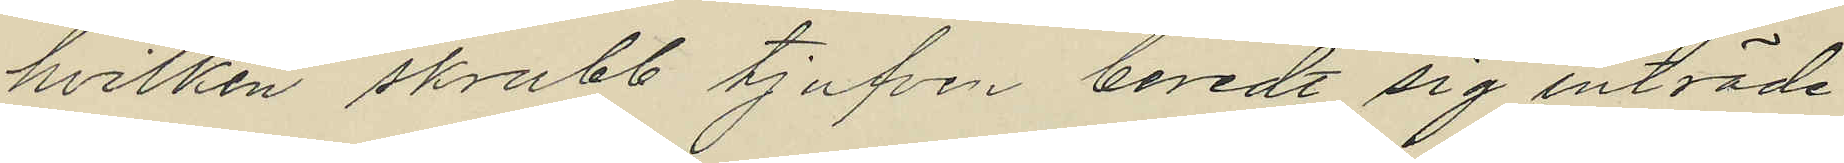hvilken skrubb tjufven beredt sig inträde
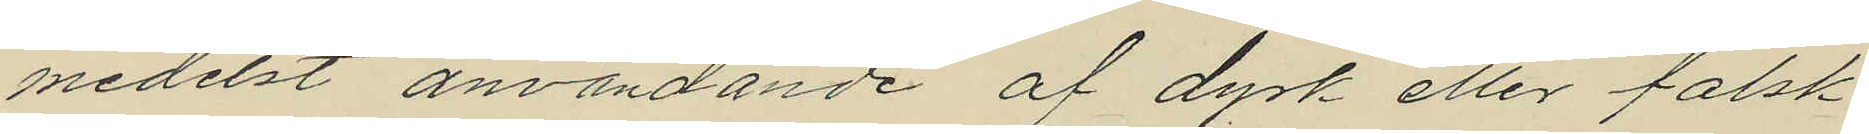medelst användande af dyrk eller falsk
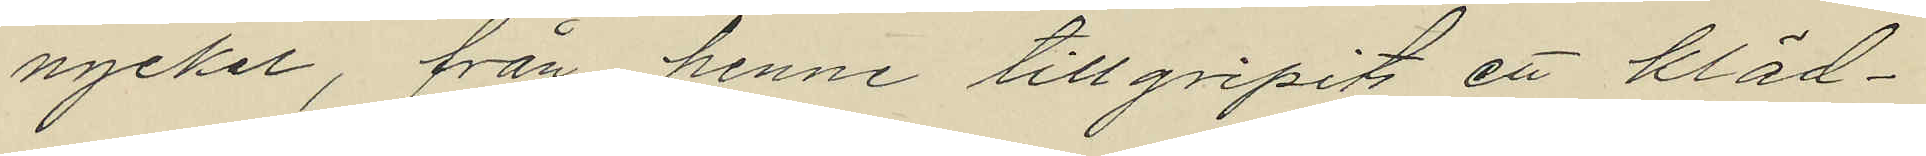nyckel, från henne tillgripits ett kläd¬
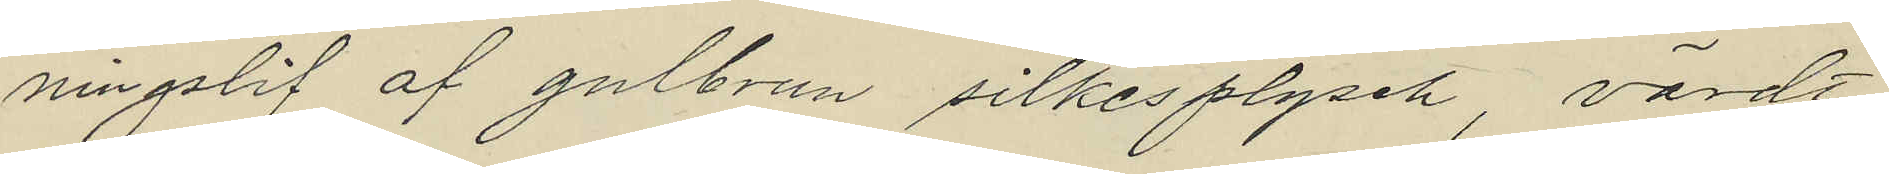ningslif af gulbrun silkesplysch, värdt
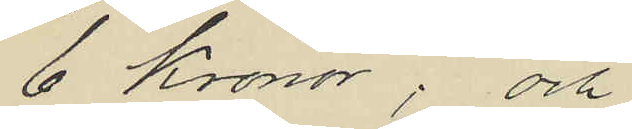6 Kronor; och
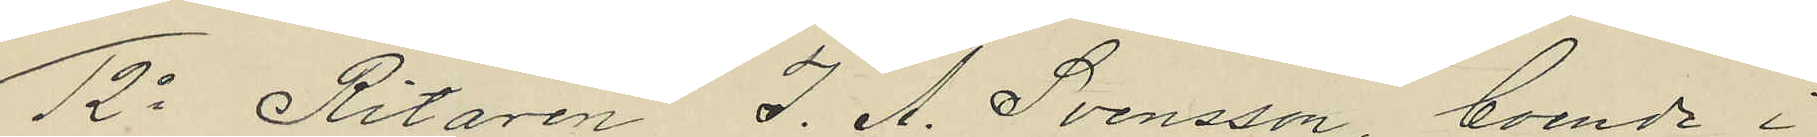12o Ritaren J. A. Svensson, boende i
